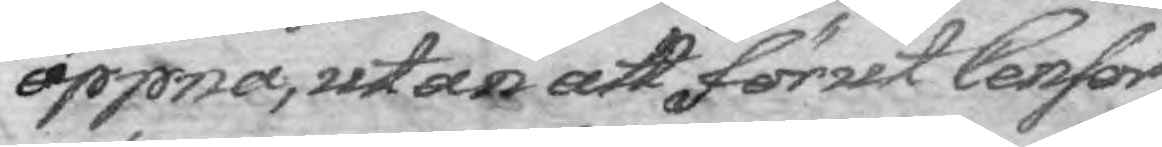öppna, utan att förut Censor
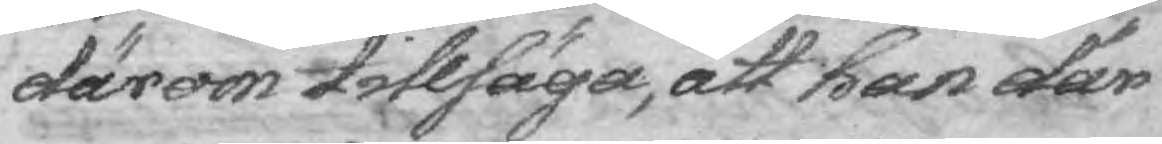därom tillsäga, att han där
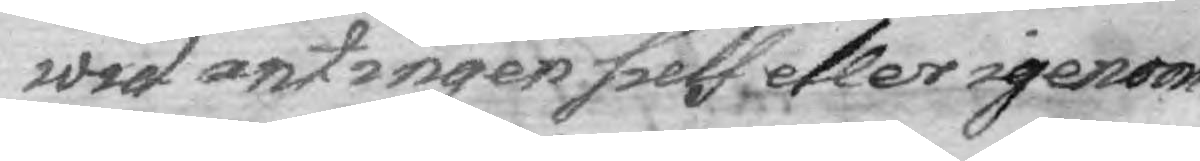wid antingen sielf eller igenom
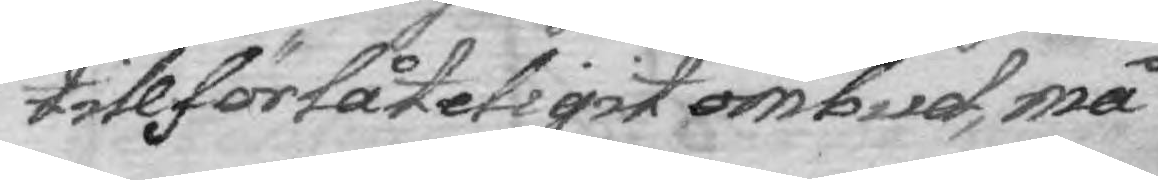tillförlåteligit ombud, må
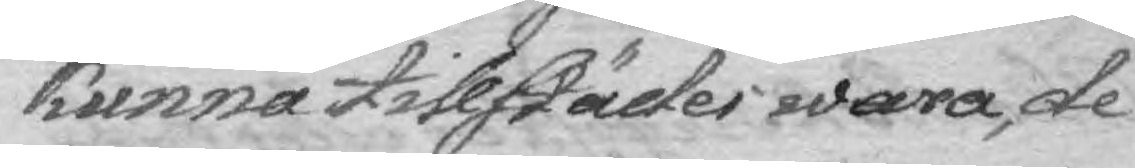kunna tillstädes wara, de
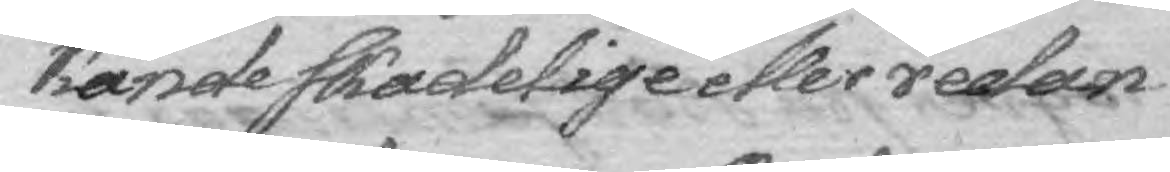kände skadelige eller redan
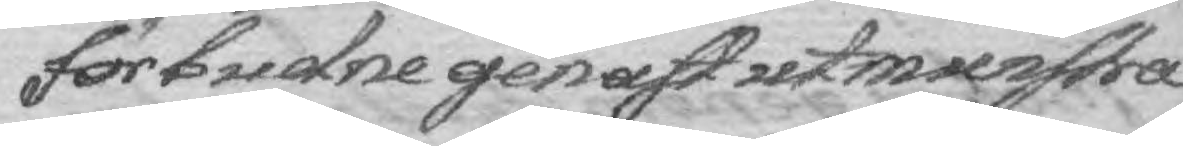förbudne genast utmunstra
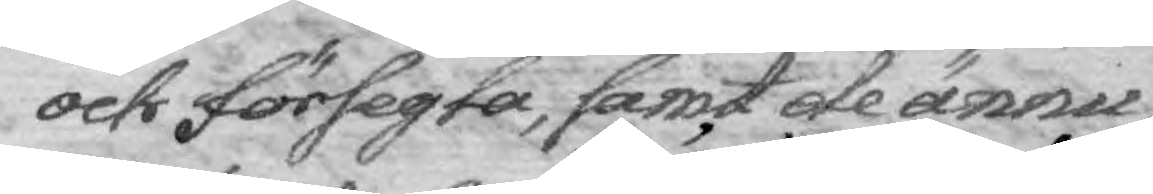och försegla, samt de ännu
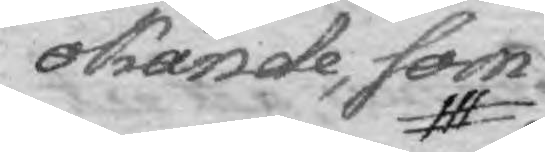okände, som
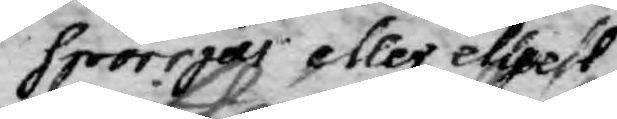spörrjas eller elljest
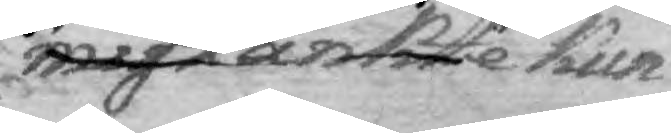mistänkte kun¬
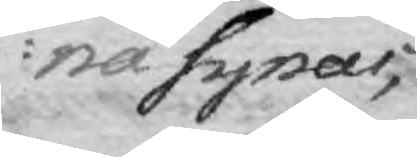na synas,
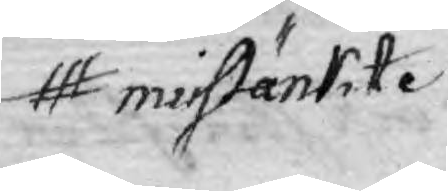misstänkte
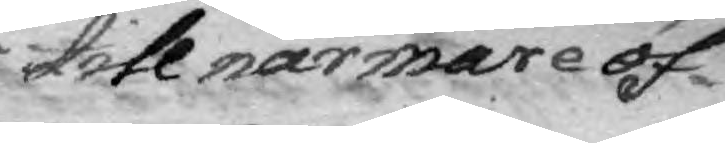till närmare öf¬
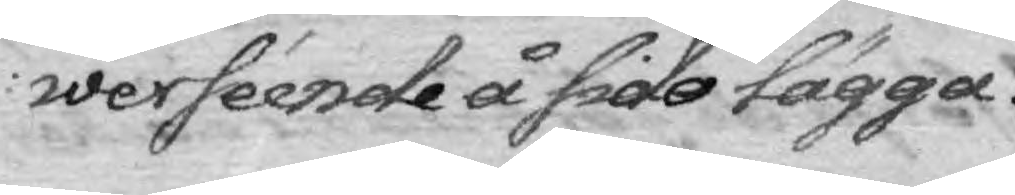werséende å sido lägga.
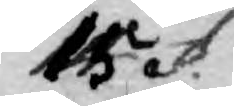15 §.
